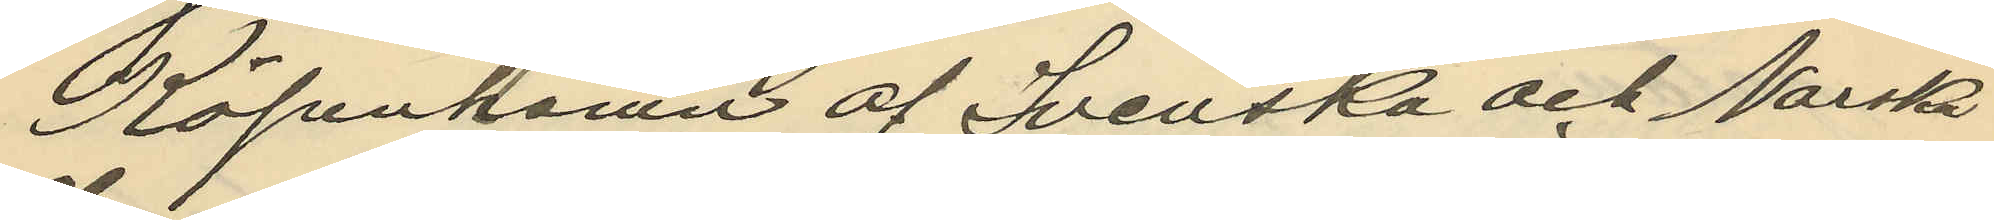Köpenhamn af Svenska och Norska
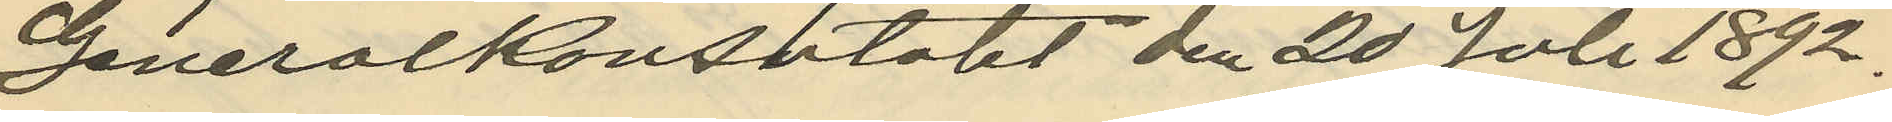Generalkonsulatet den 20 Juli 1892.
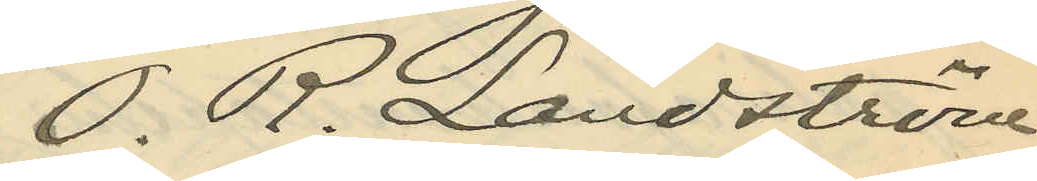O. R. Landström
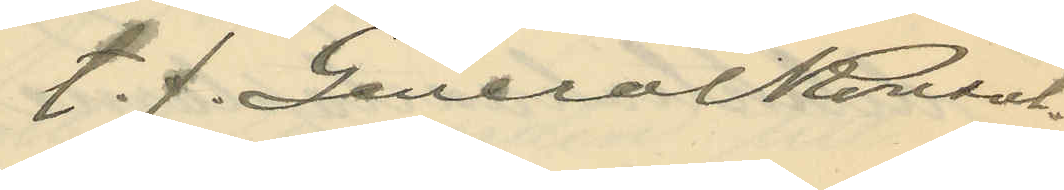t.f. Generalkonsul.
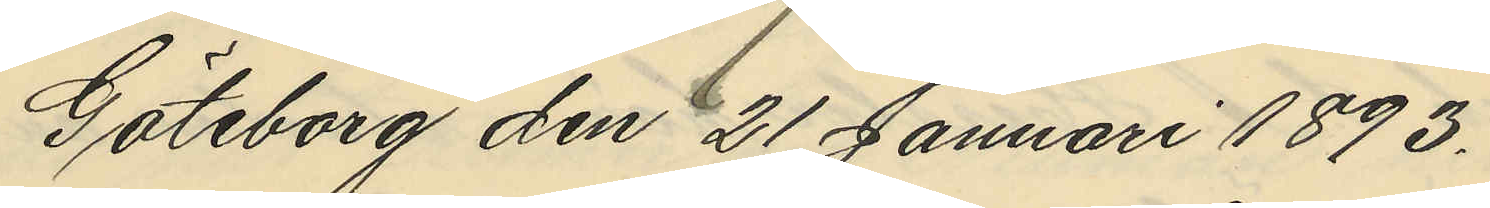Göteborg den 21 Januari 1893.
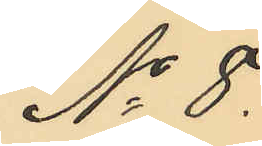No 8.
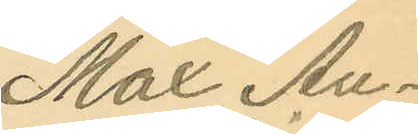Max Au¬
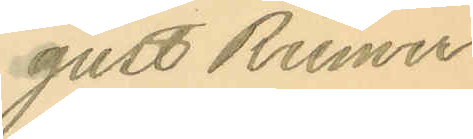gust Riemer
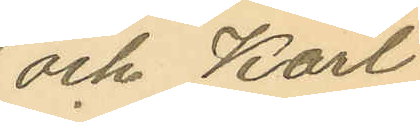och Karl
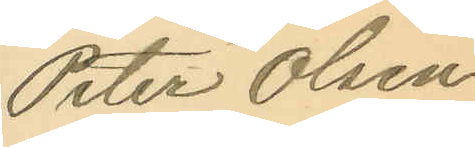Peter Olsen
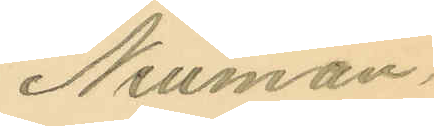Neuman.
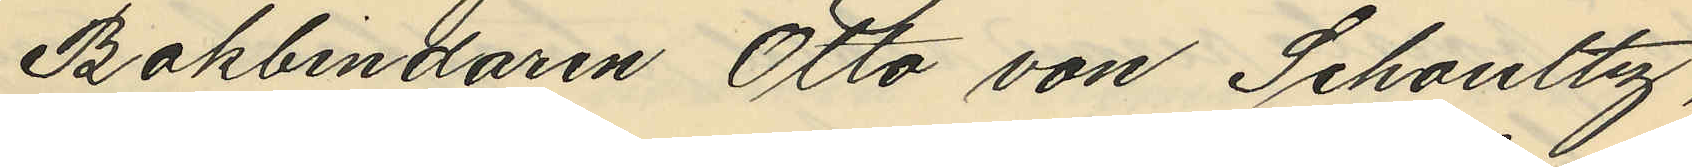Bokbindaren Otto von Schoultz,
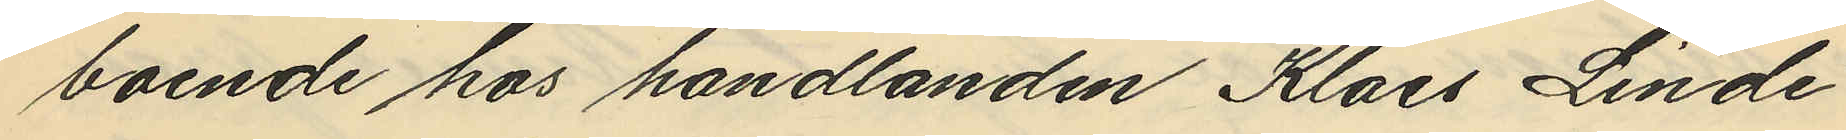boende hos handlanden Klaes Linde¬
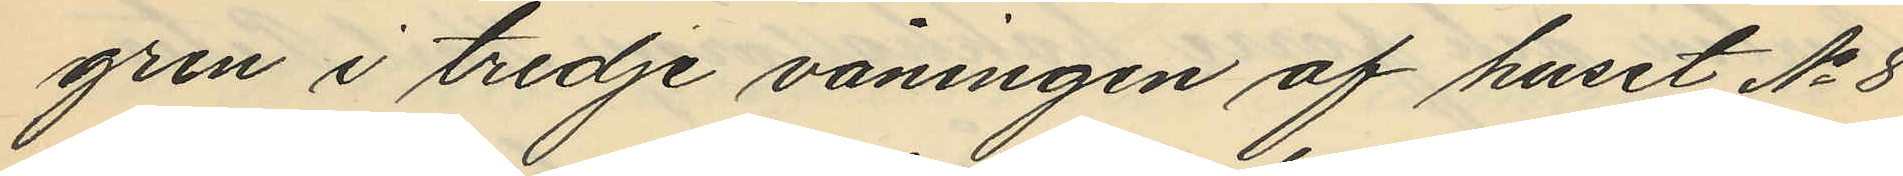gren i tredje våningen af huset No 8
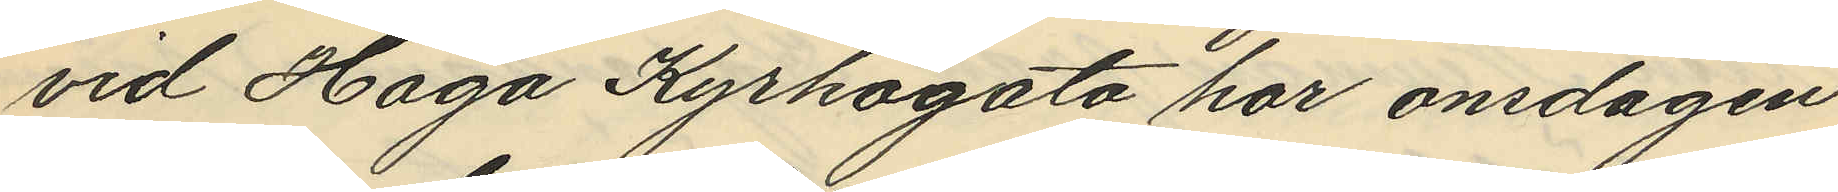vid Haga Kyrkogata har onsdagen
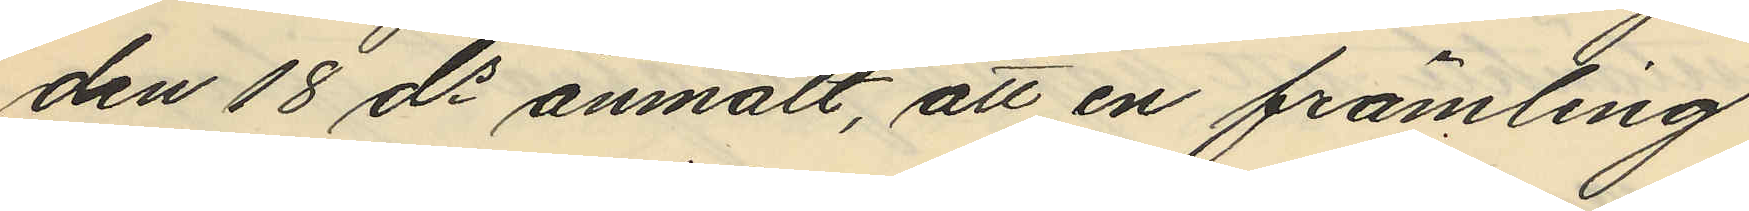den 18 ds anmält, att en främling
